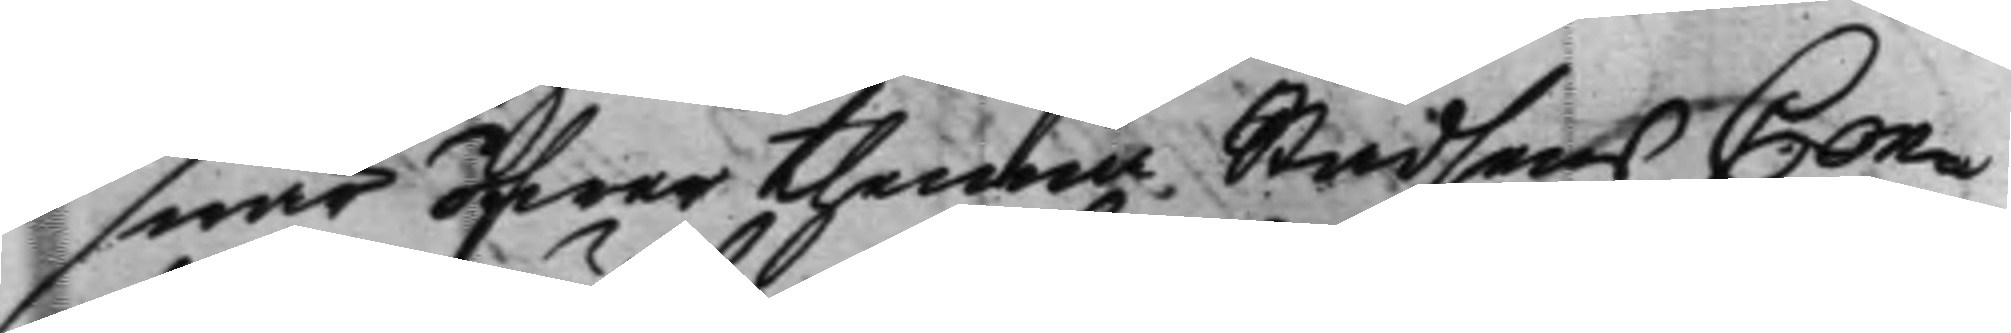swär öfwer thenna Stadsens Con¬
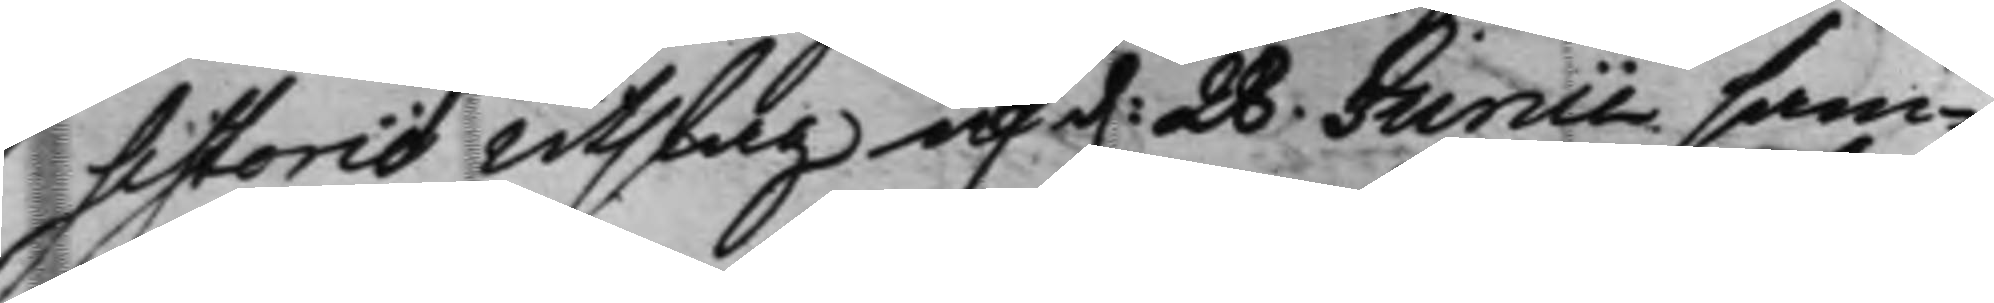sistorio Utslag af d. 28 Junii sam¬ 
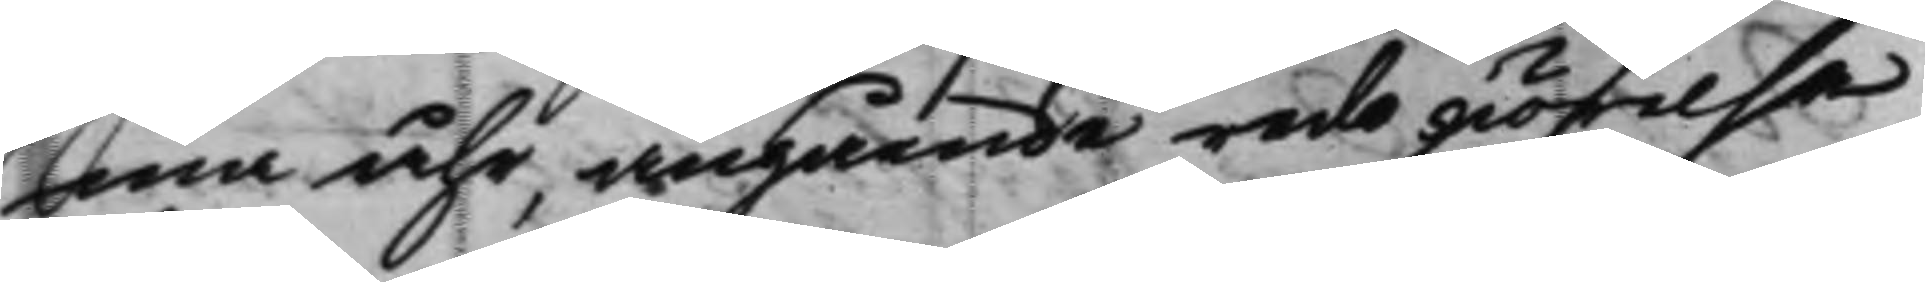ma åhr, angående redo giörelse
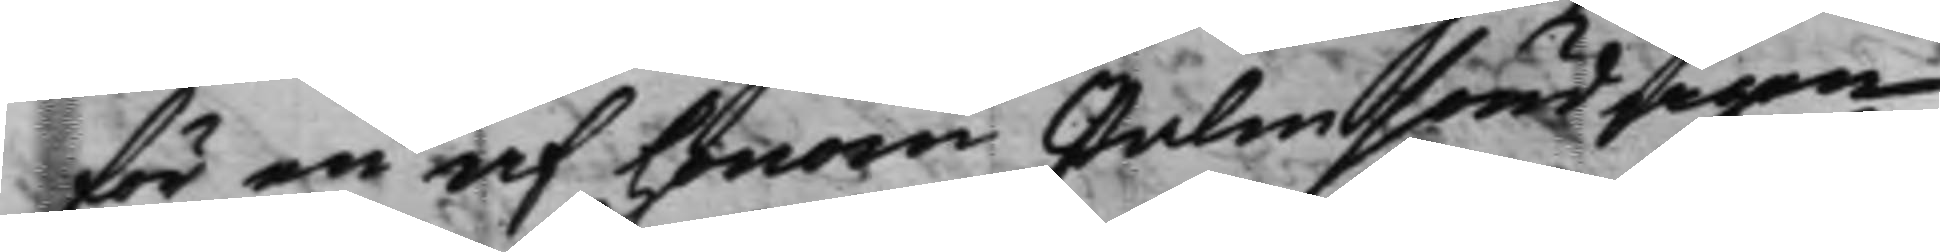för en af honom Palmsöndagen
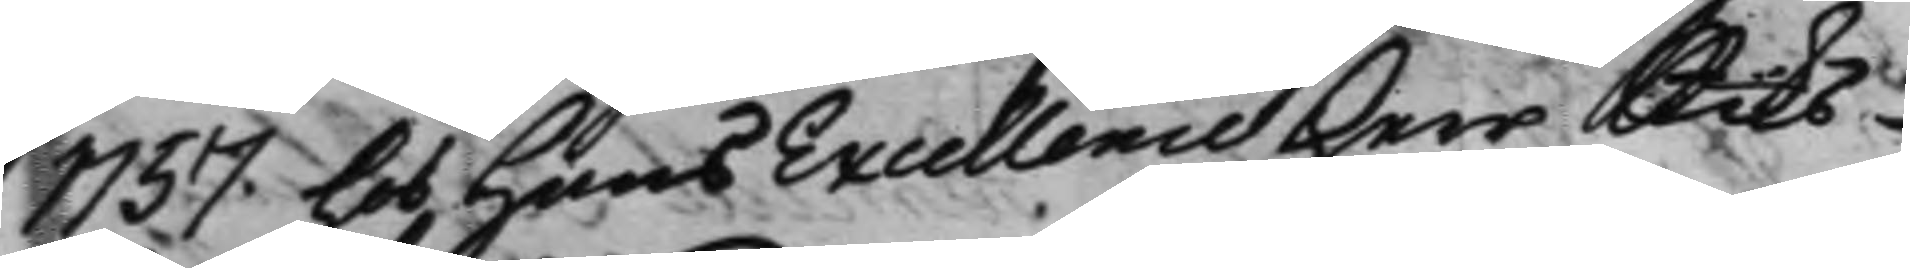1757. hos Hans Excellence Herr Riks¬ 
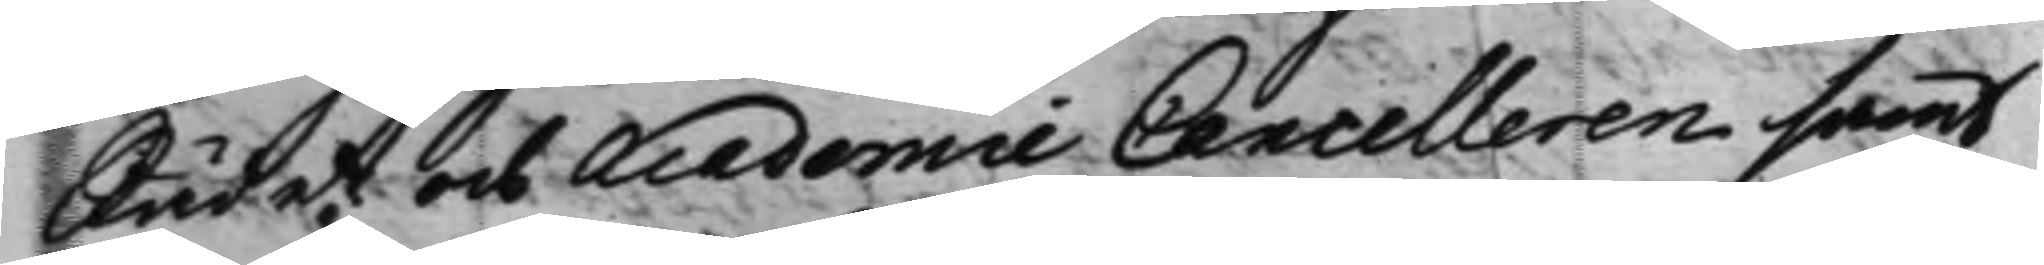Rådet och Academie Cancelleren samt
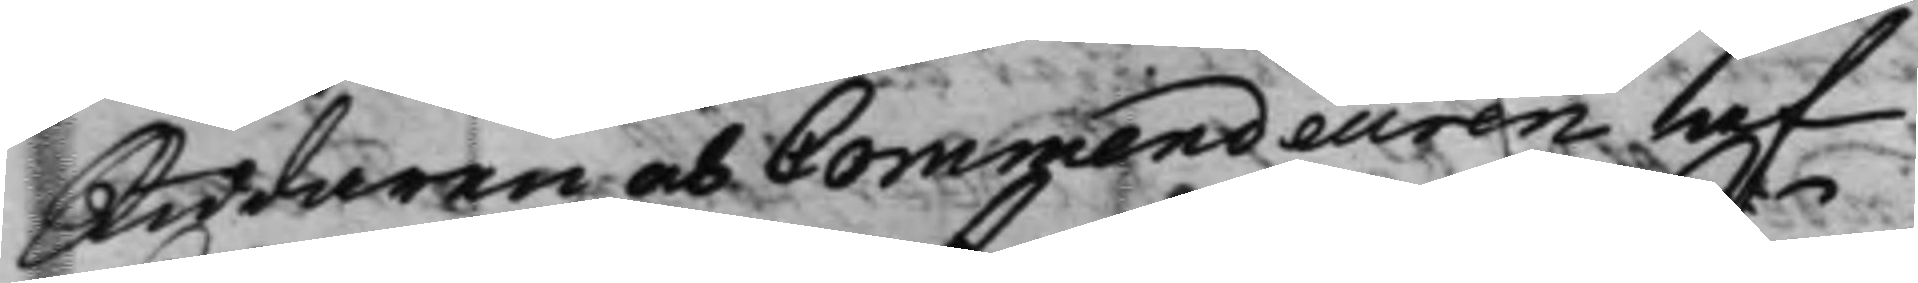Riddaren och Commendeuren af
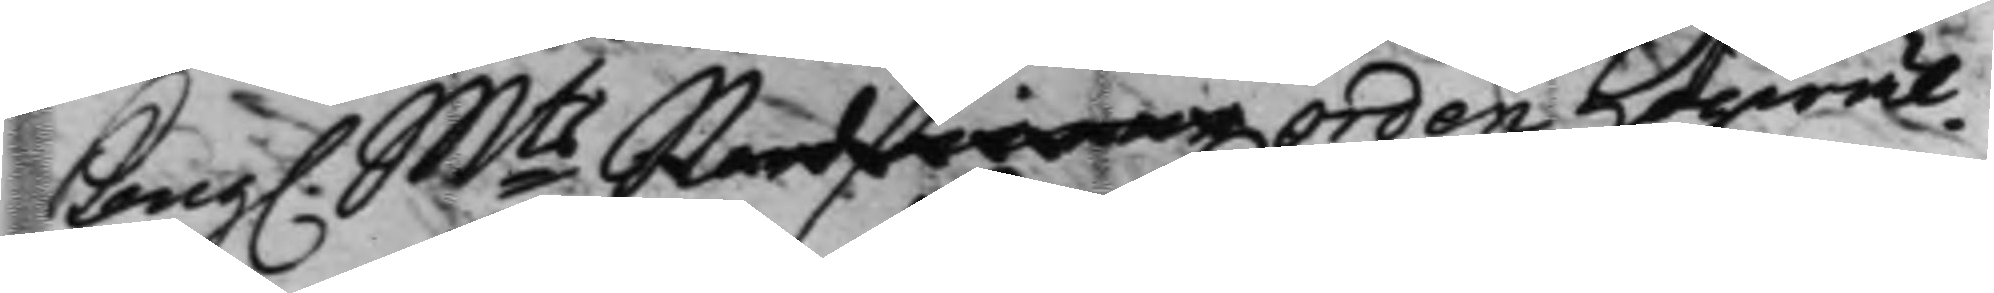Kong. Mts Nordstierne Orden Högwäl¬ 
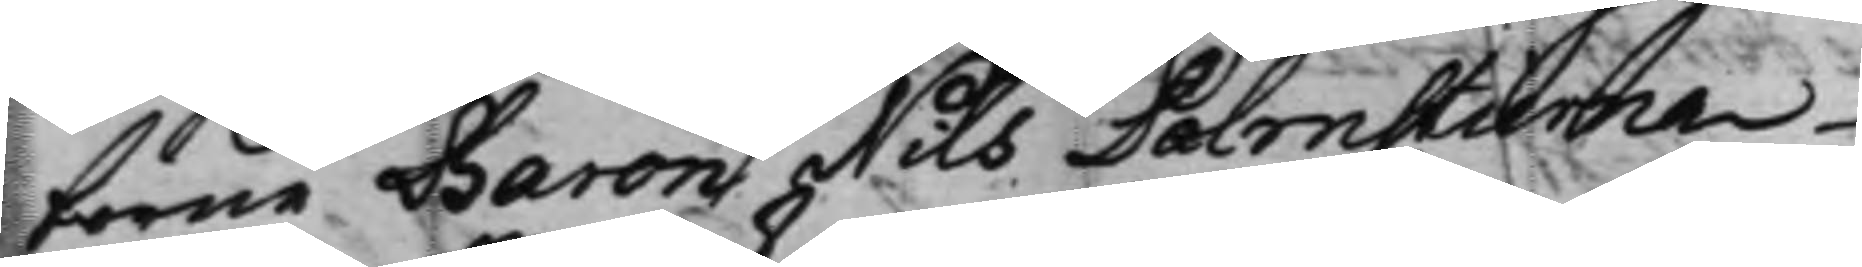borne Baron Nils Palmstierna
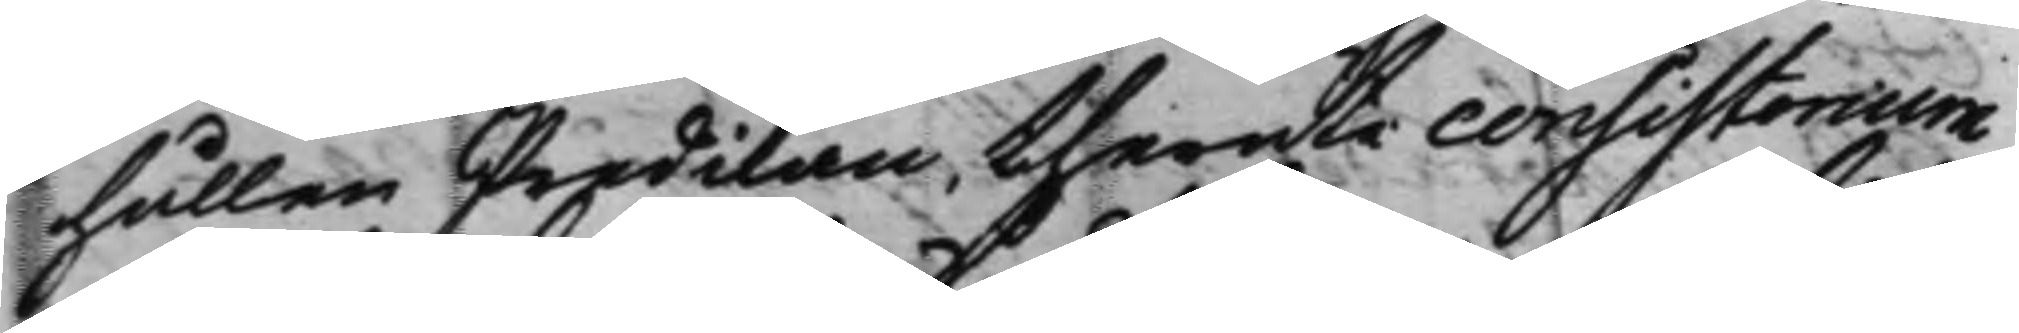hållen Predikan, theruti consistorium
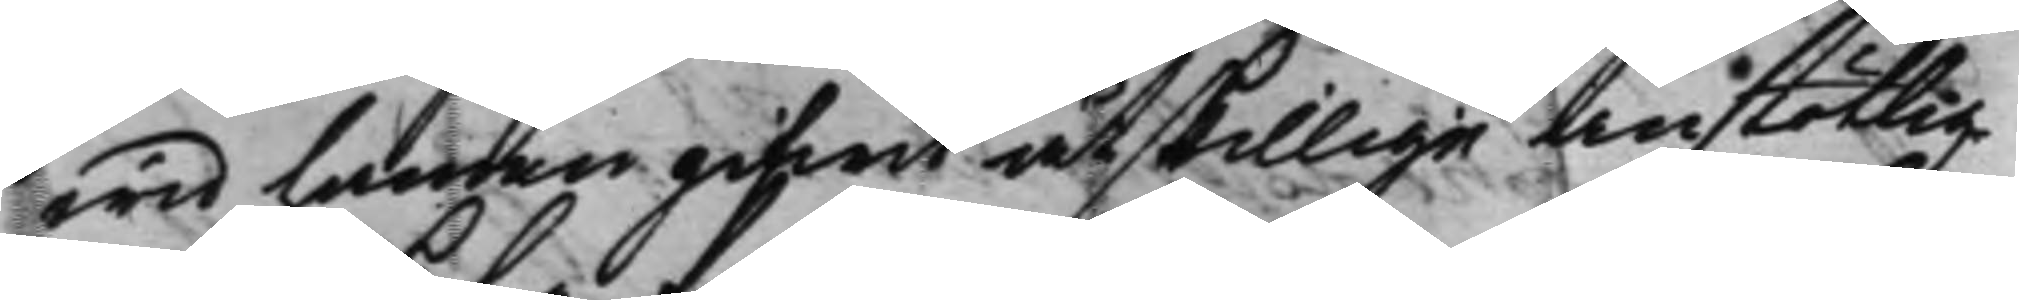wid handen gifwit åtskillige Anstötlig¬
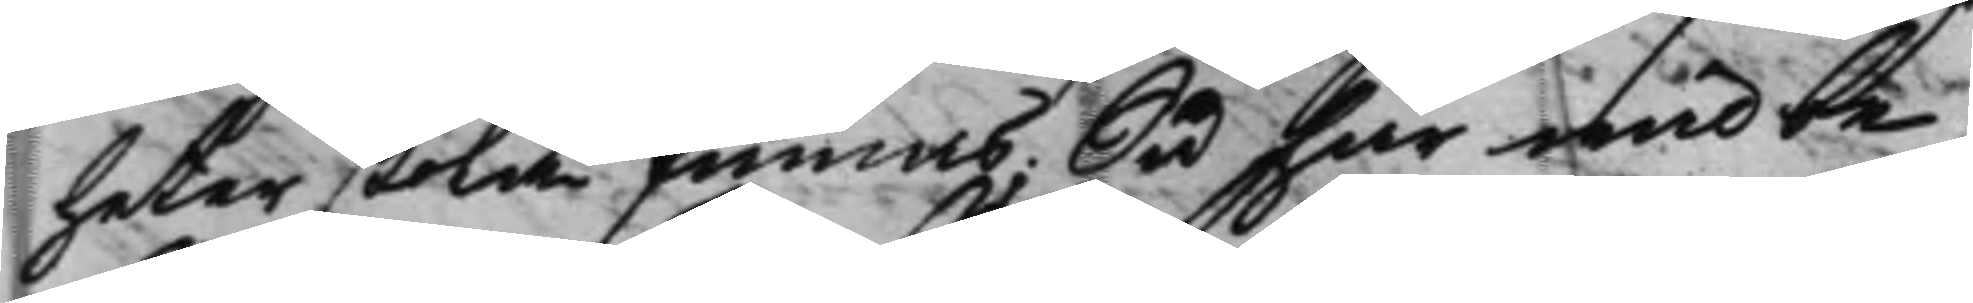heter skola finnas; Så har wid be¬
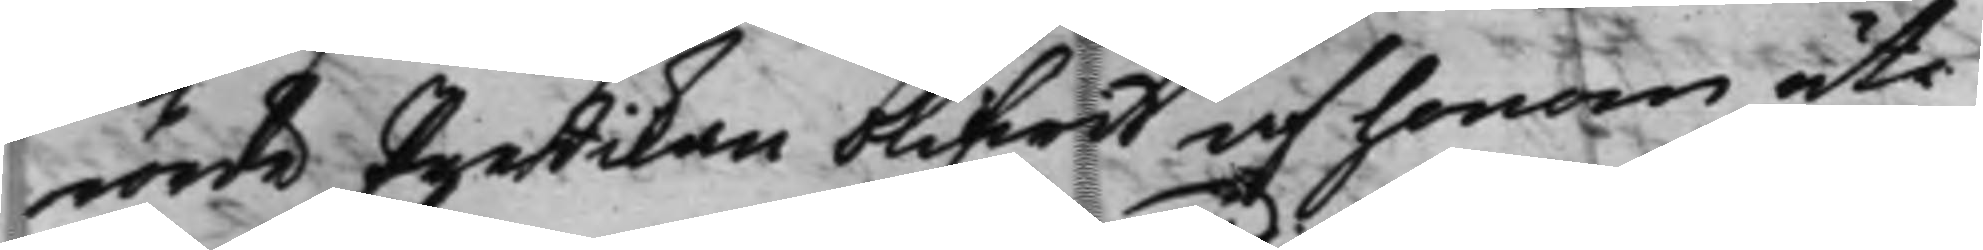rörde Predikan blifwit af honom uti
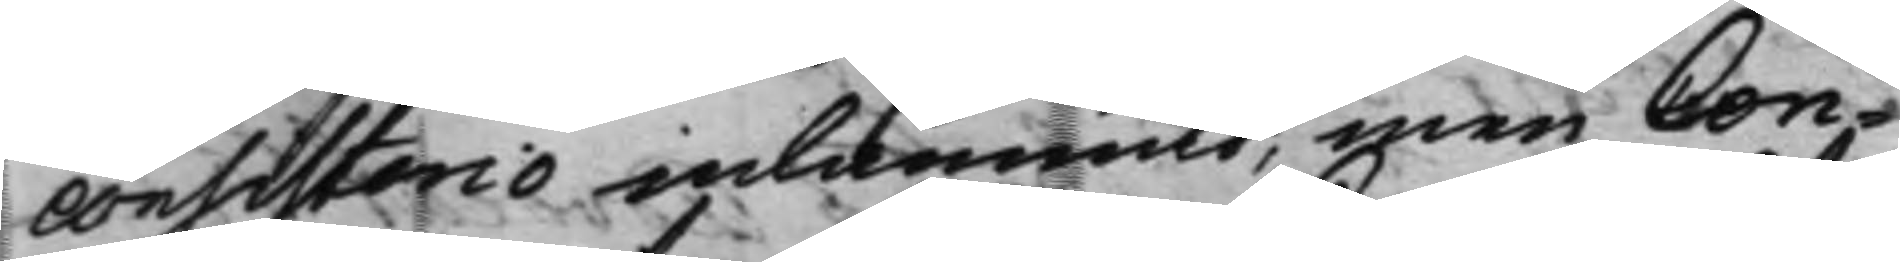Consistorio inlämnad, men Con¬
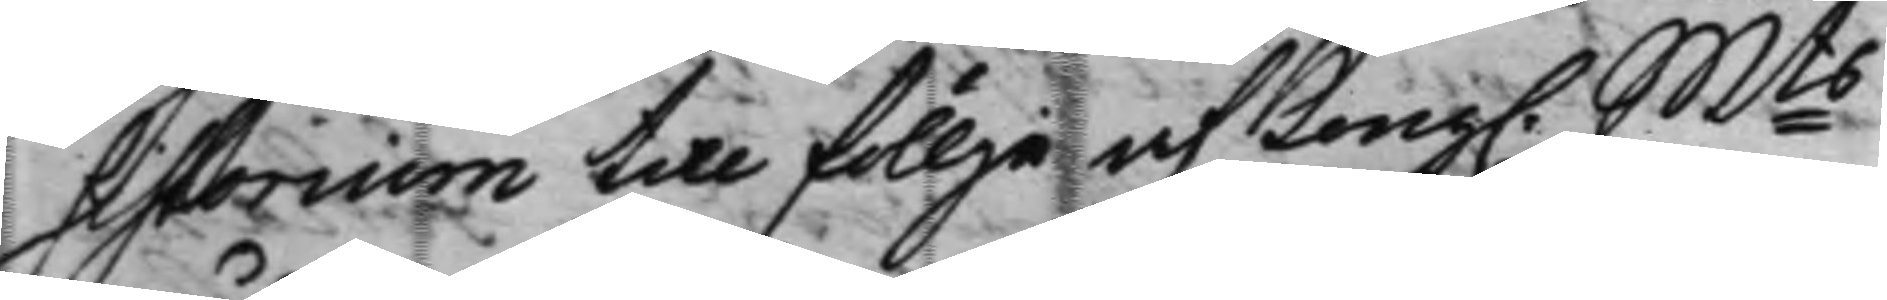sistorium till föllje af Kong. Mts 
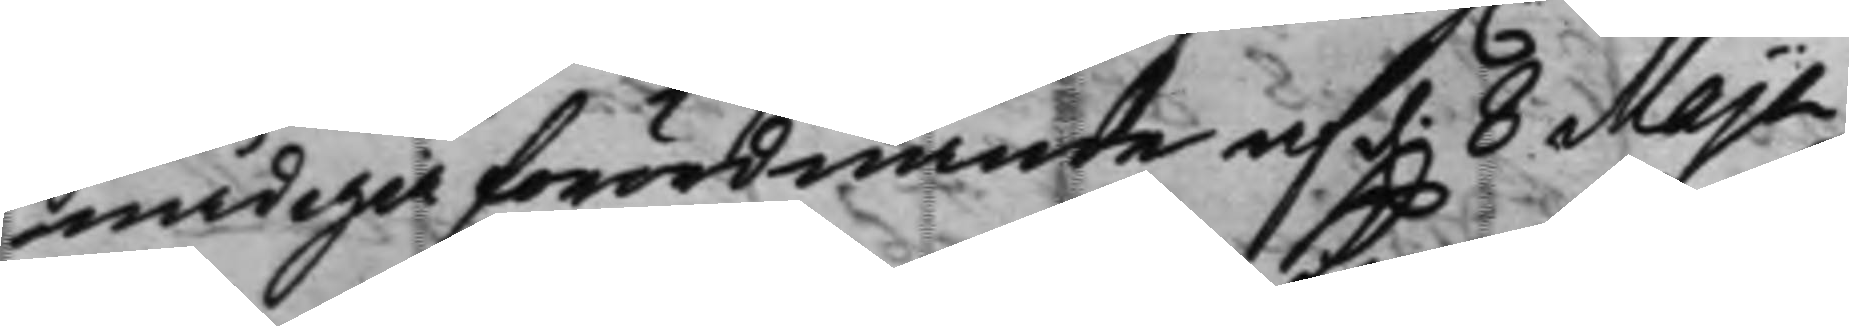nådiga förordnande af d. 8 Maji 
